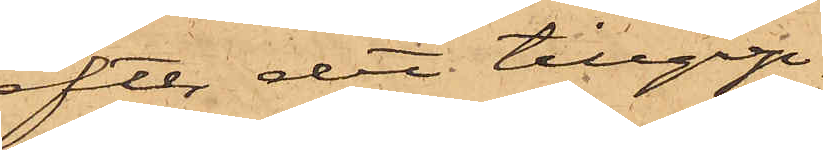efter det tillgrep¬
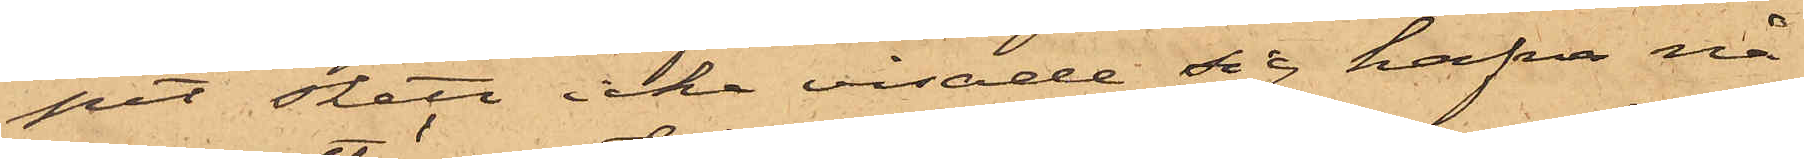pet skett icke visade sig hafva nå¬
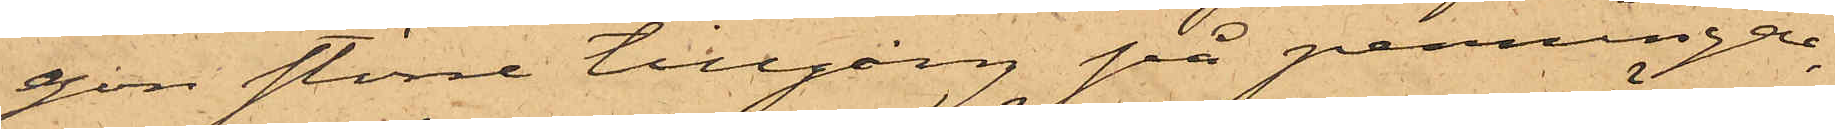gon större tillgång på penningar,
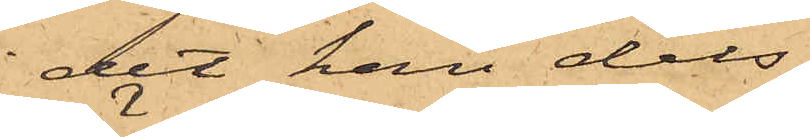det han dels
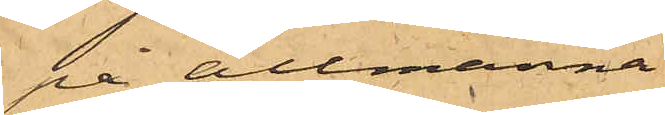på allmänna
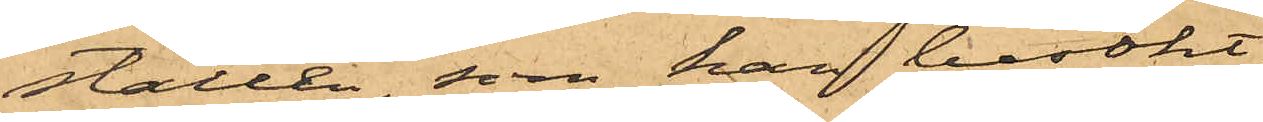ställen, som han besökt,
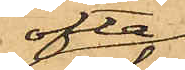ofta
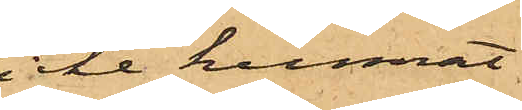icke kunnat
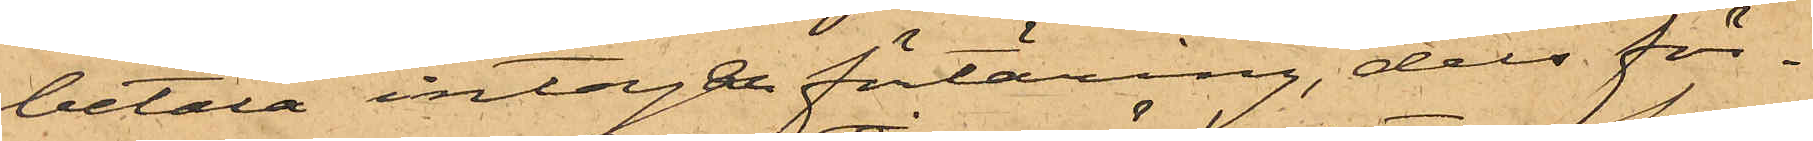betala intagen förtäring, dels för¬
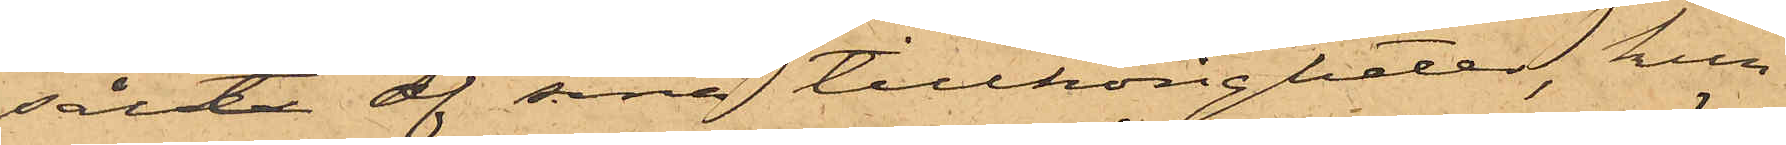sålt af sina tillhörigheter, kun¬
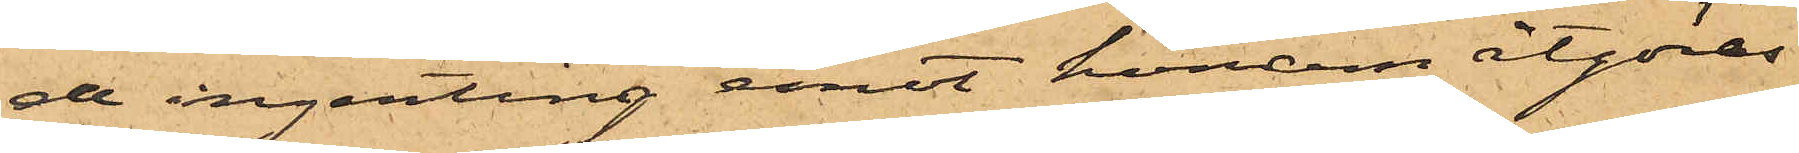de ingenting emot honom åtgöras
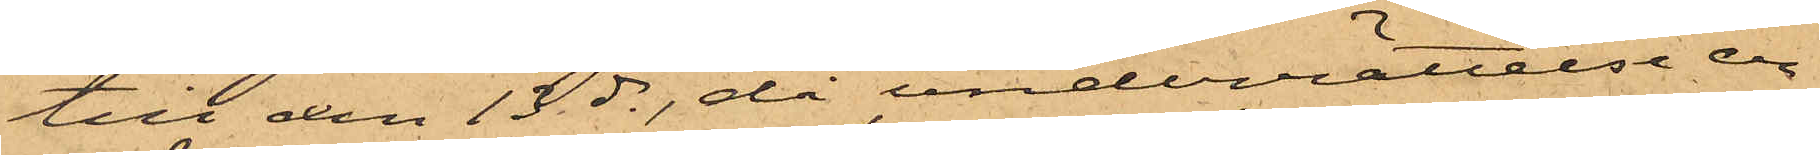till den 13 ds, då underrättelse er¬
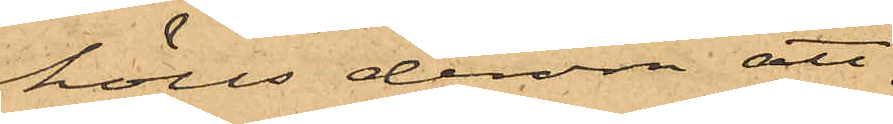hölls derom att
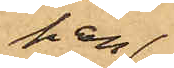han
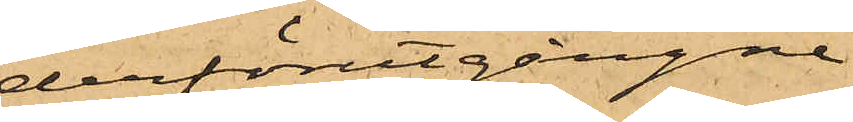derförutgångne
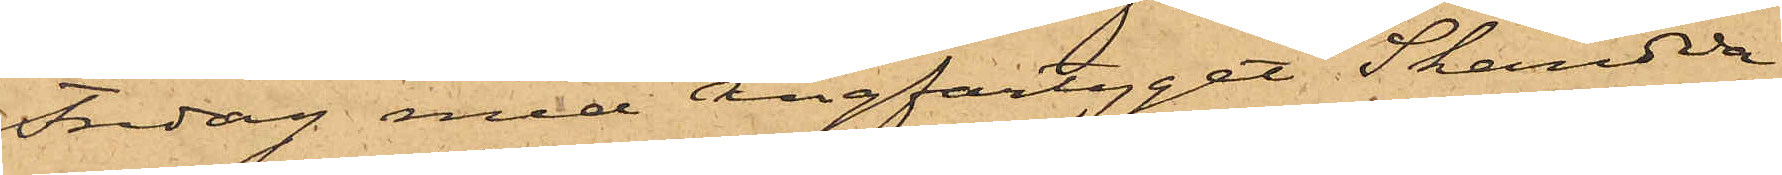Fredag med Ångfartyget Skandia
